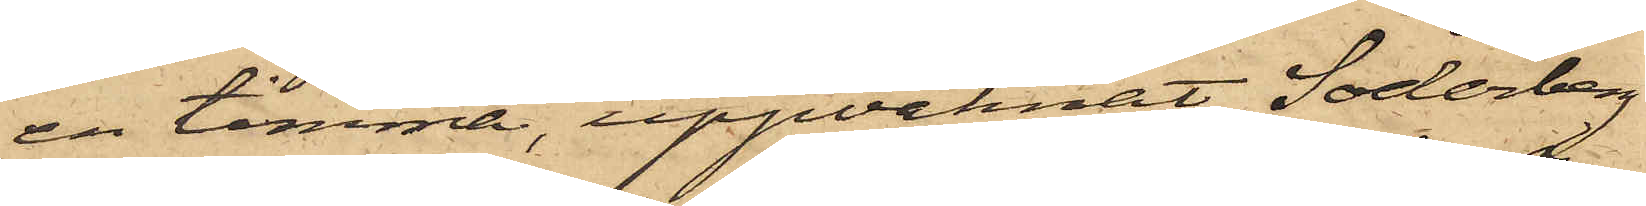en timma, uppvaknat, Söderberg
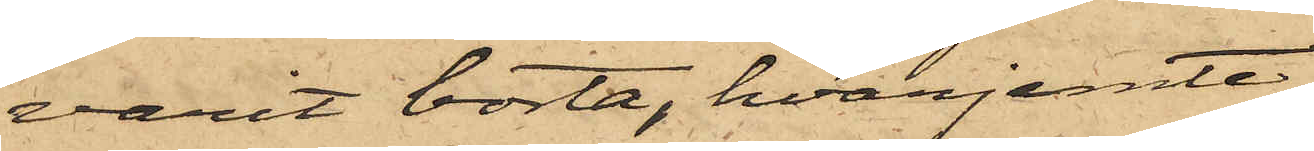varit borta, hvarjemte
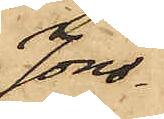Jons¬
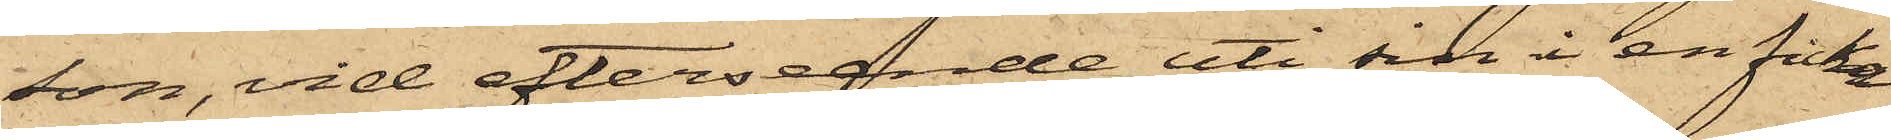son, vid efterseende uti sin i en ficka
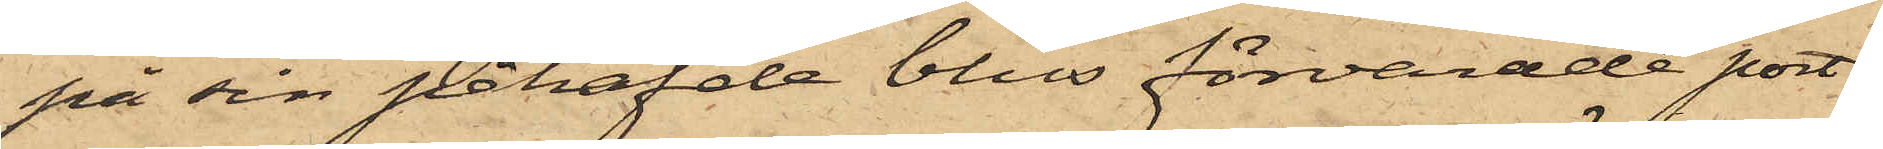på sin påhafvde blus förvarade port¬
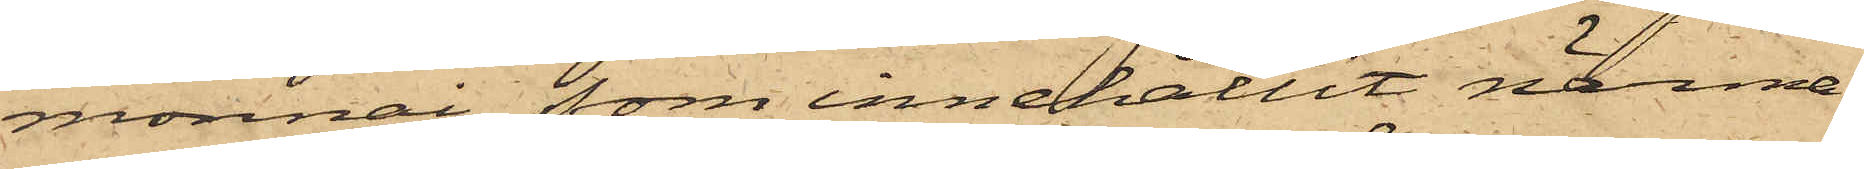monnai, som innehållit närma¬
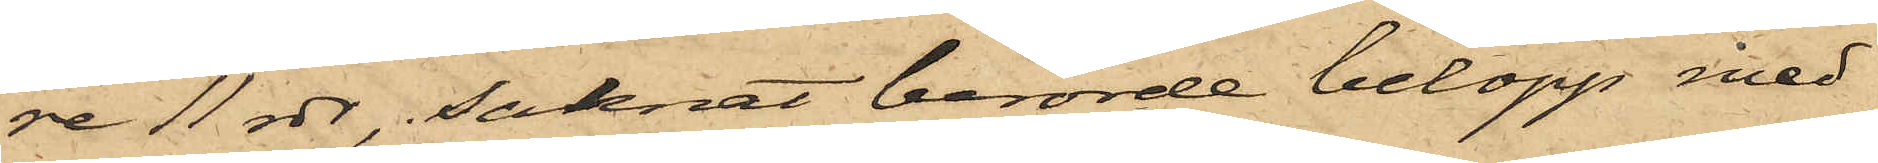re 11 rdr, saknat berörde belopp med
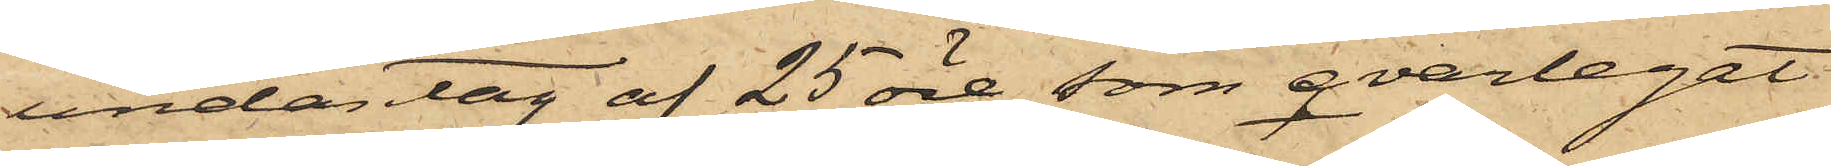undantag af 25 öre, som qvarlegat
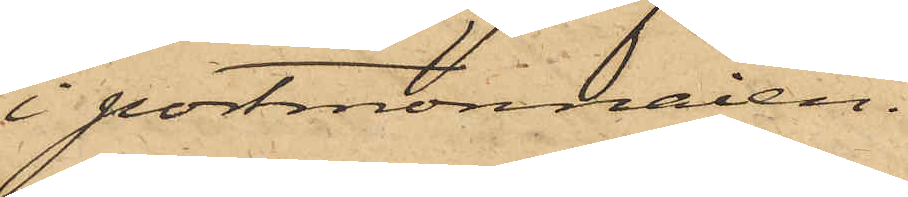i portmonnaien.
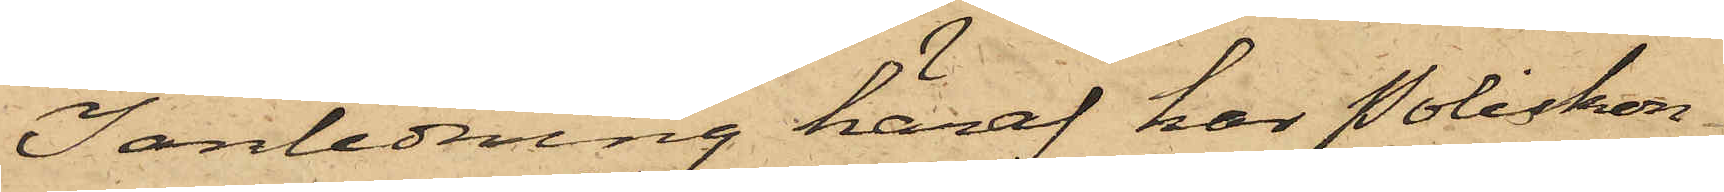I anledning häraf har Poliskon¬
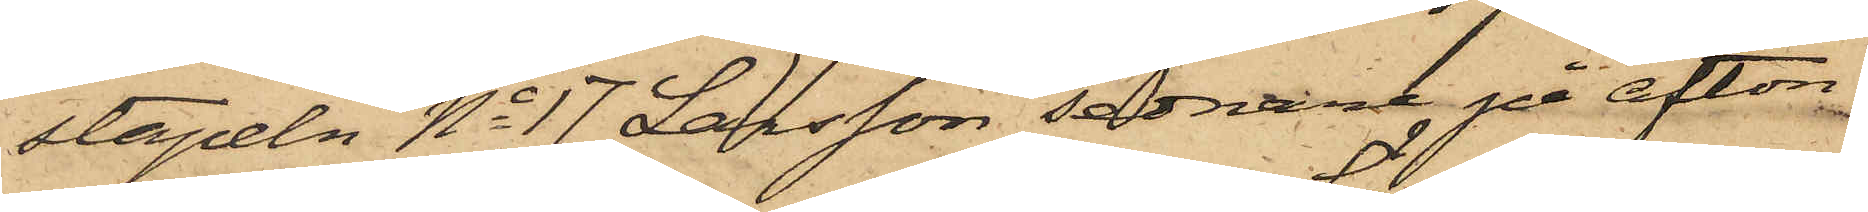stapeln No 17 Larsson sednare på afton
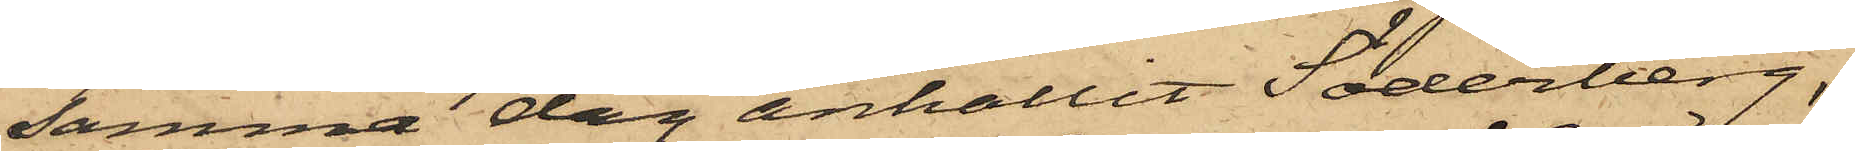samma dag anhållit Söderberg,
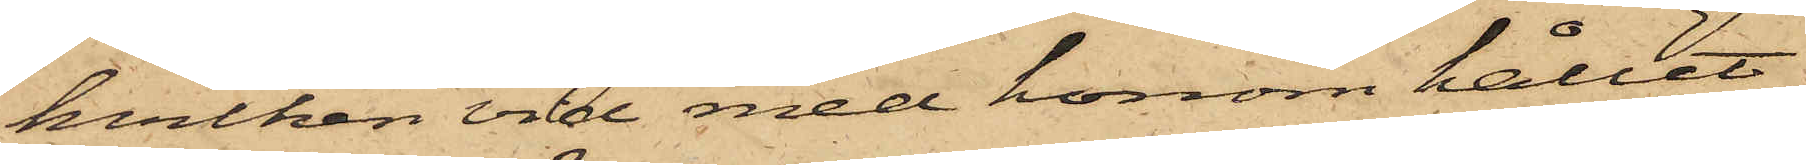hvilken vid med honom hållit
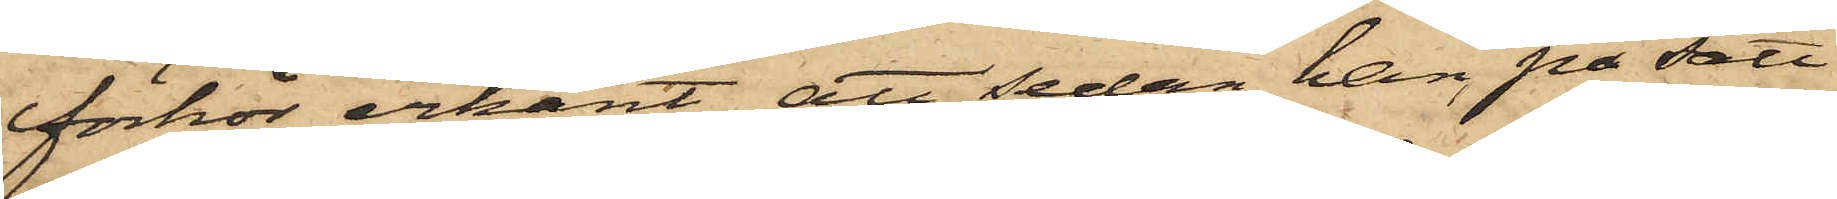förhör erkänt, att sedan han på sätt
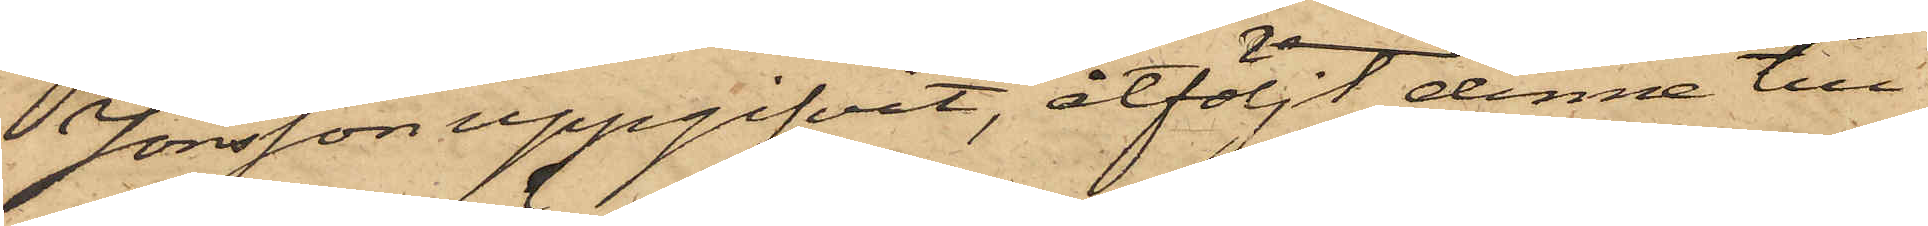Jonsson uppgifvit, åtföljt denne till
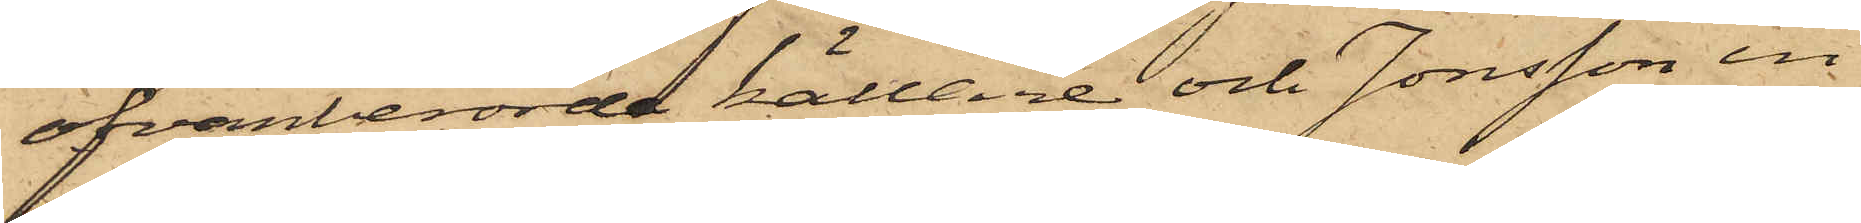ofvanberörde källare och Jonsson in¬
